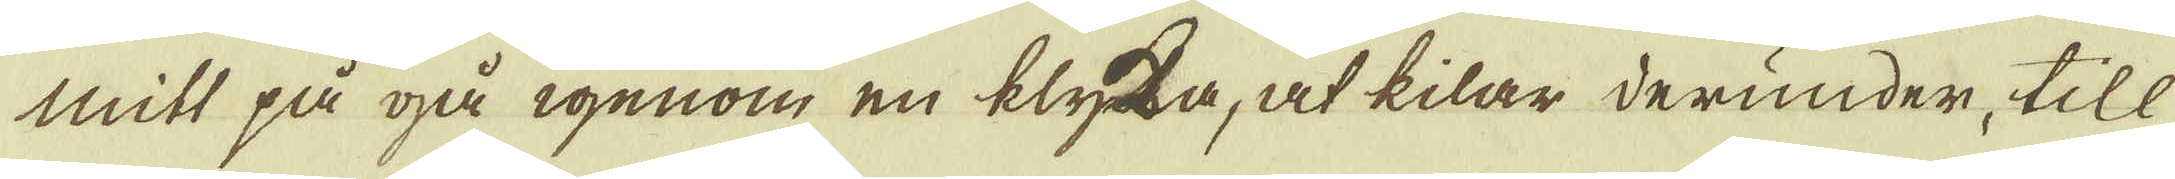mitt på gå igenom en klyka, at kilar derunder, till
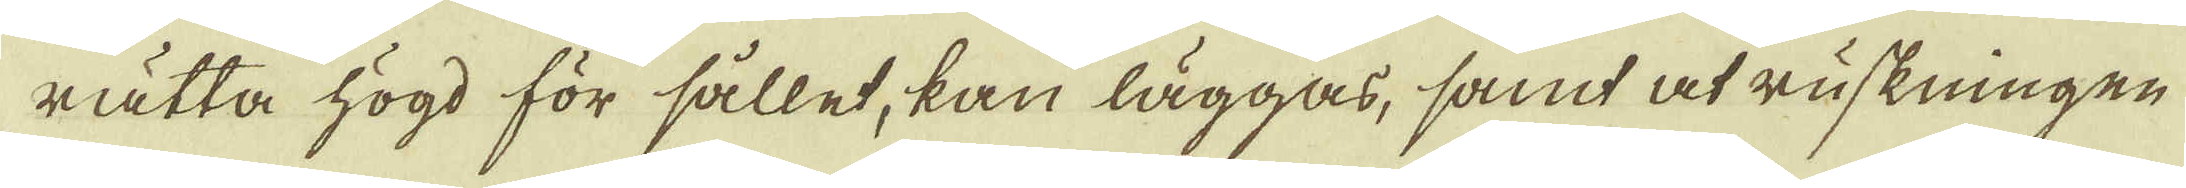rätta högd för sållet, kan läggas, samt at ruskningen
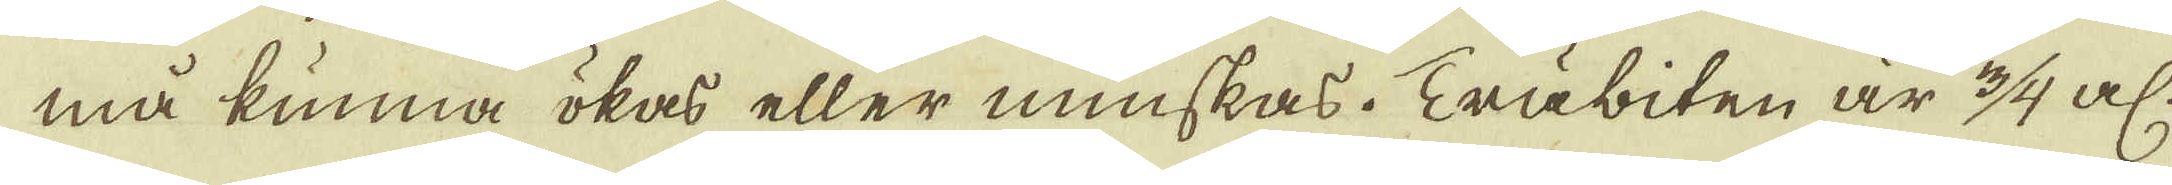må kunna ökas eller minskas. Träbiten är 3/4 al:
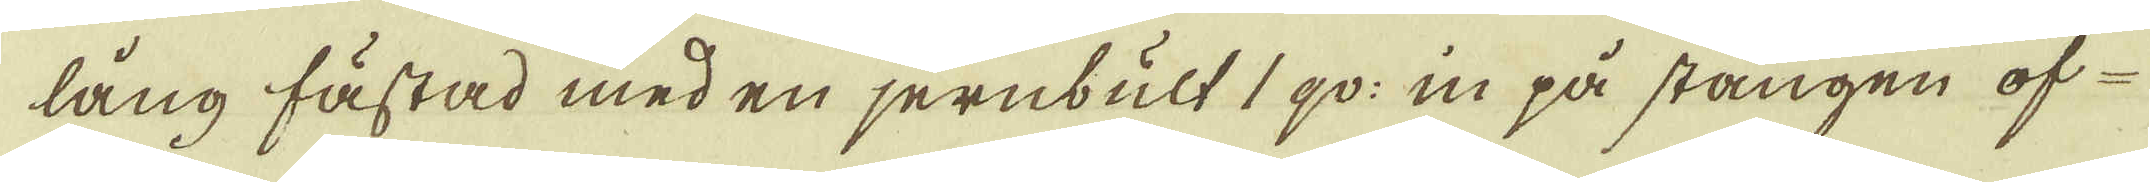lång fästad med en jernbult 1 qv: in på stången of-
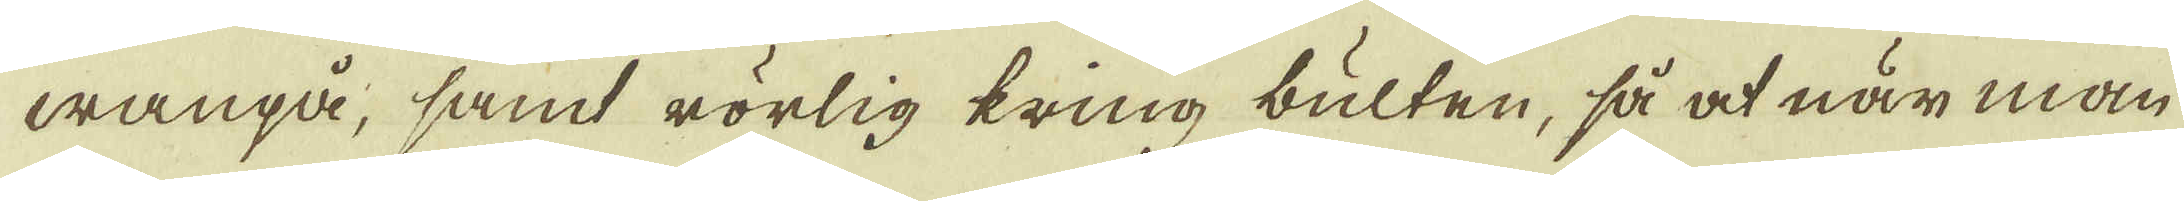wanpå, samt rörlig kring bulten, så at när man
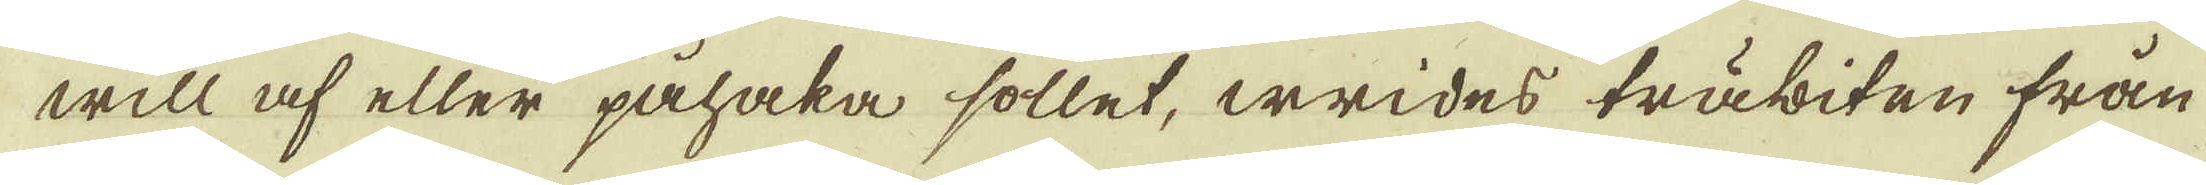will af eller påhaka sollet, wrides träbiten från
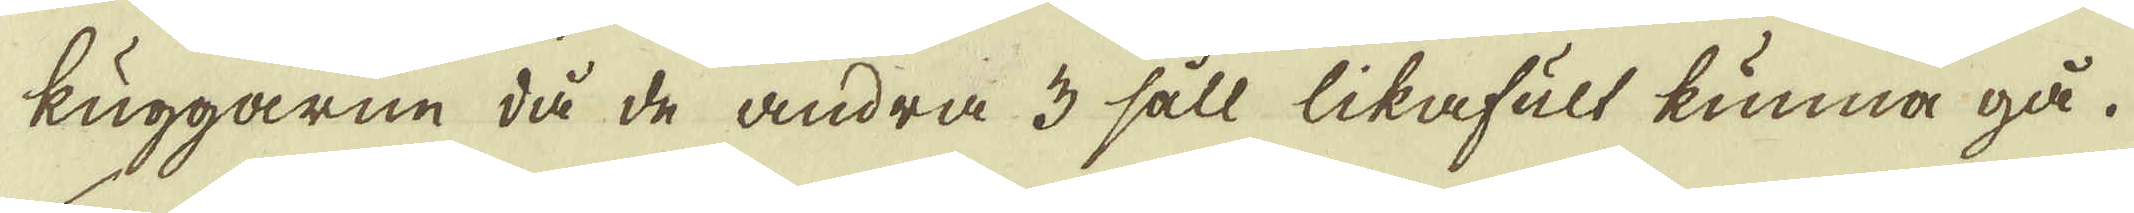kuggarne då de andra 3 såll likafult kunna gå.
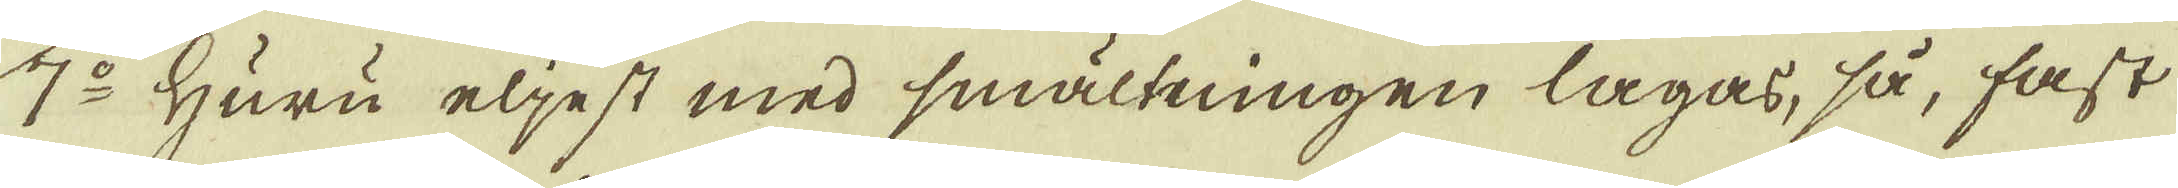7:o Huru eljest med smältningen lagas, så, fast
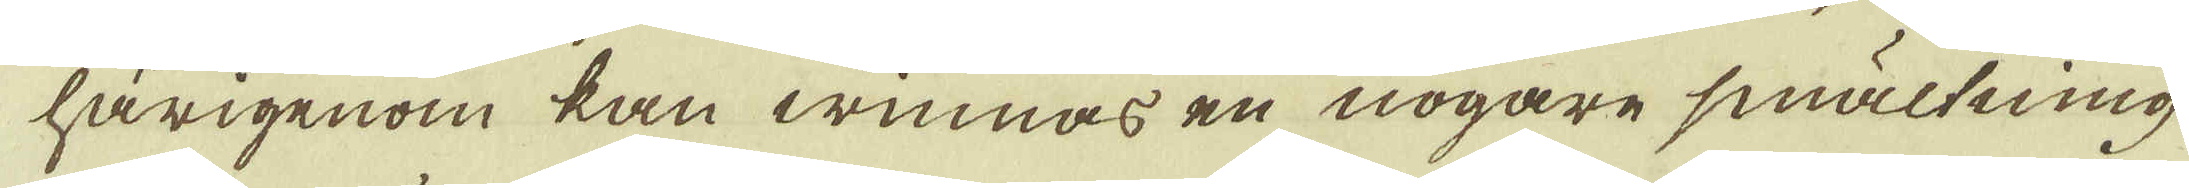härigenom kan winnas en nogare smältning
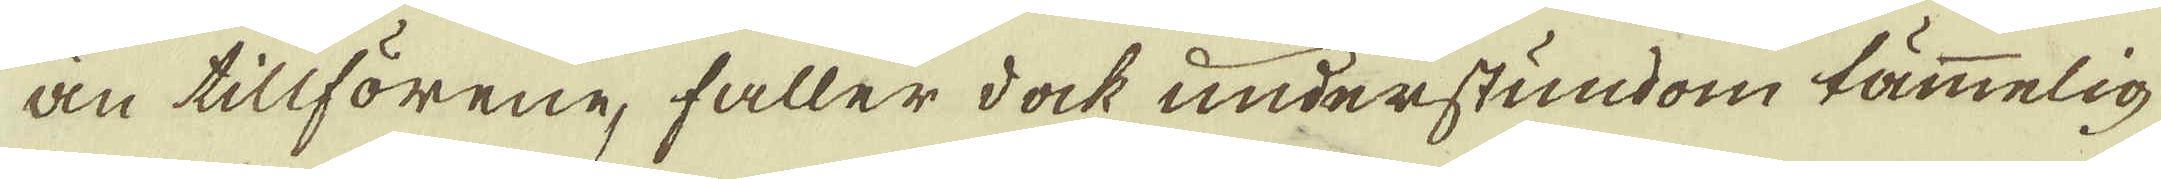än tillförene, faller dock understundom tämmelig
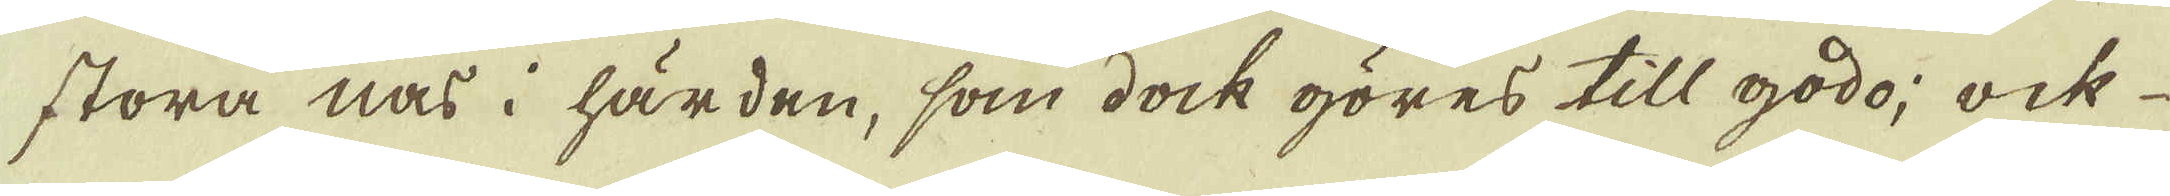stora nas i härden, som dock göres till godo; ock
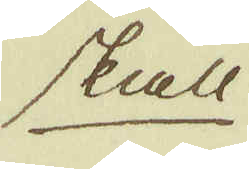skall
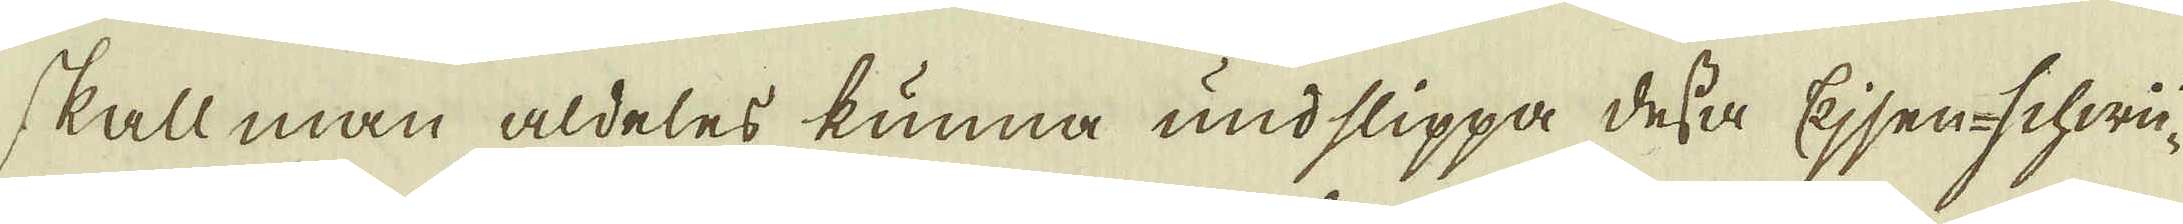skall man aldeles kunna undslippa dessa Ejsen-schwei-
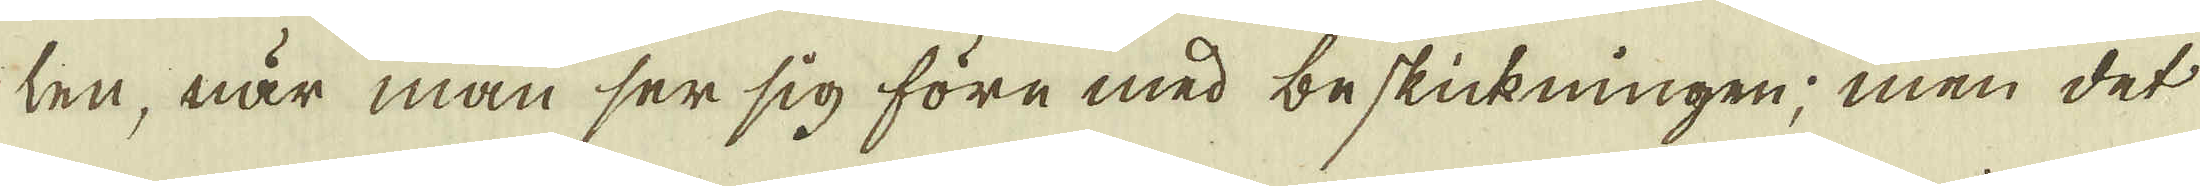len, när man ser sig före med beskickningen; men det
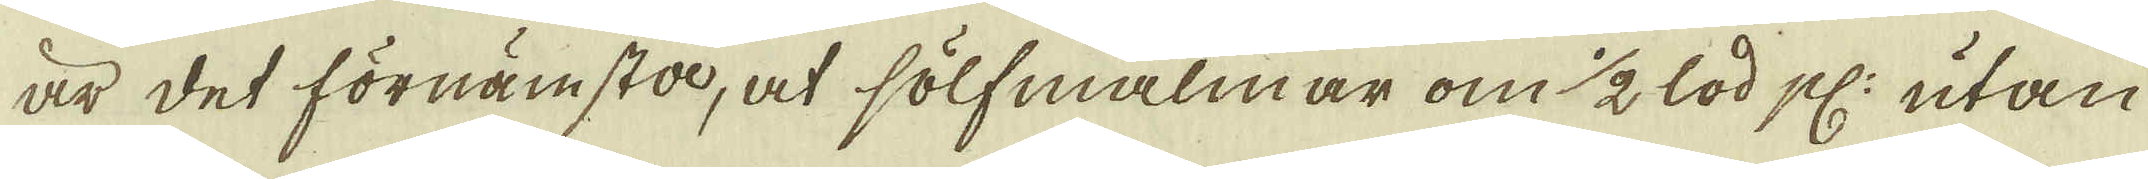är det förnämsta, at sölfmalmar om 1/2 lod pl: utan
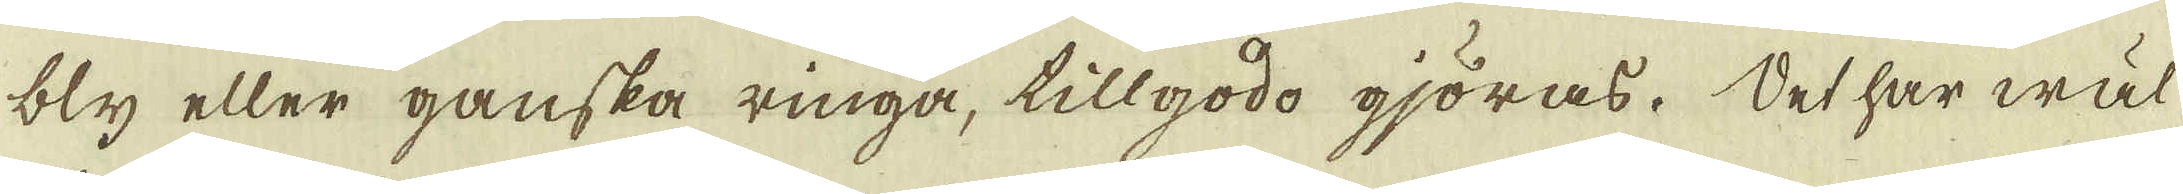bly eller ganska ringa, tillgodo gjöras. Det har wäl
